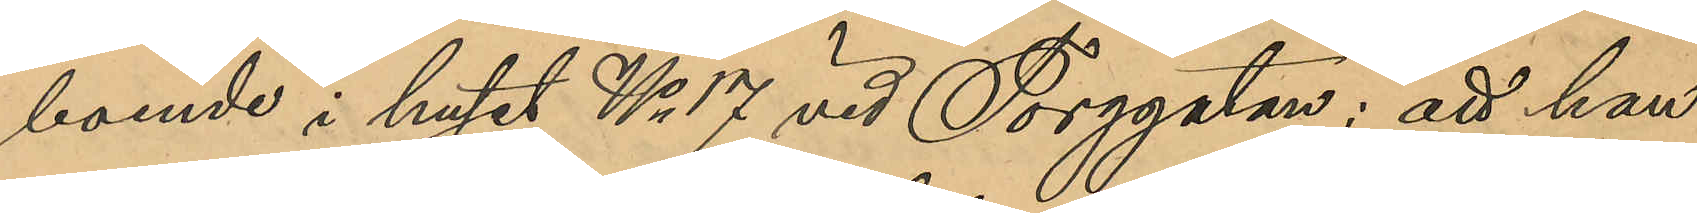boende i huset No 17 vid Torggatan: att han
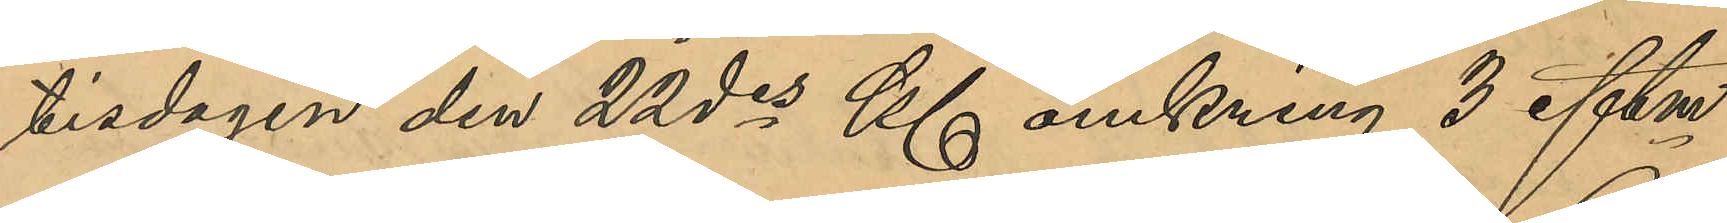tisdagen den 22 des Kl omkring 3 eftm
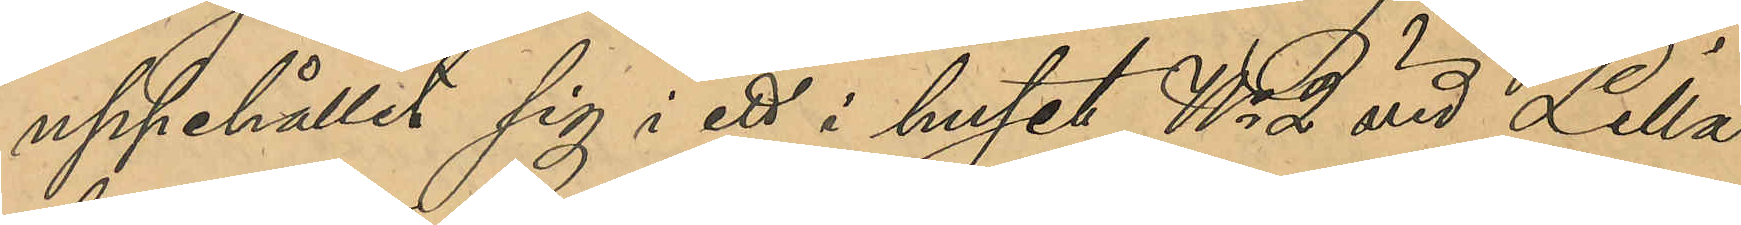uppehållit sig i ett i huset No 2 vid Lilla
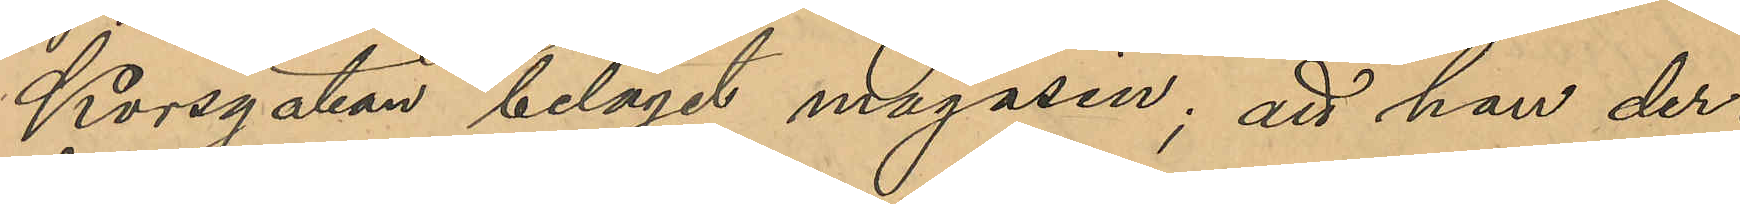Korsgatan beläget magasin; att han der¬
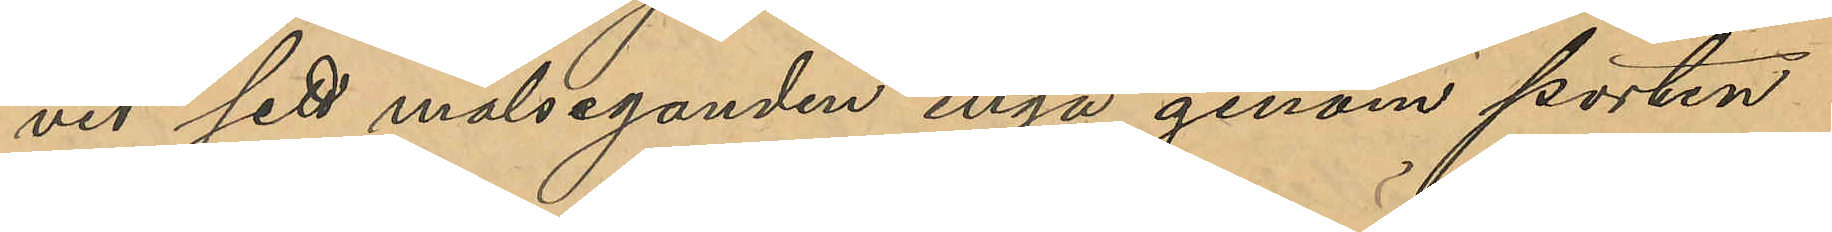vid sett målseganden ingå genom porten
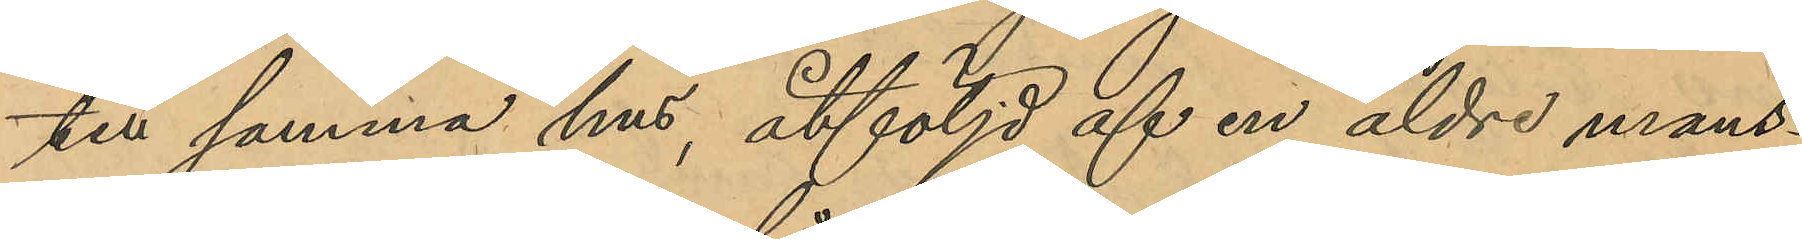till samma hus, åtföljd af en äldre mans¬
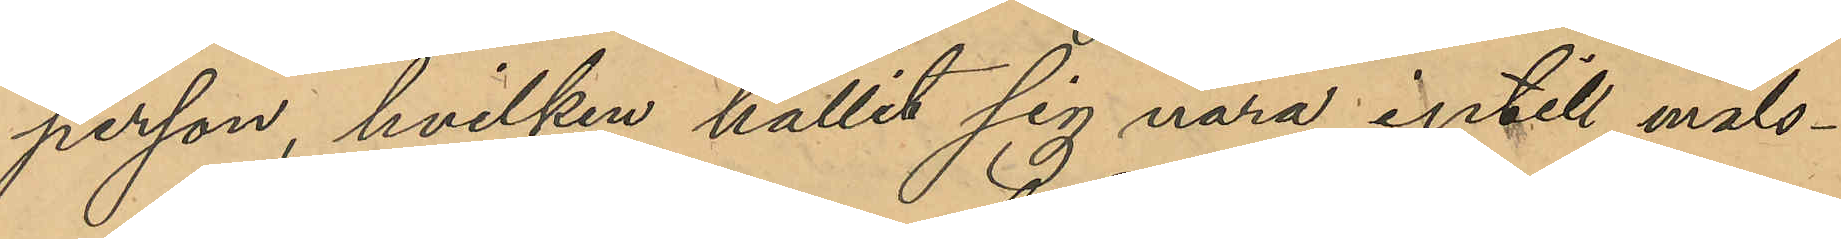person, hvilken hållit sig nära intill måls¬
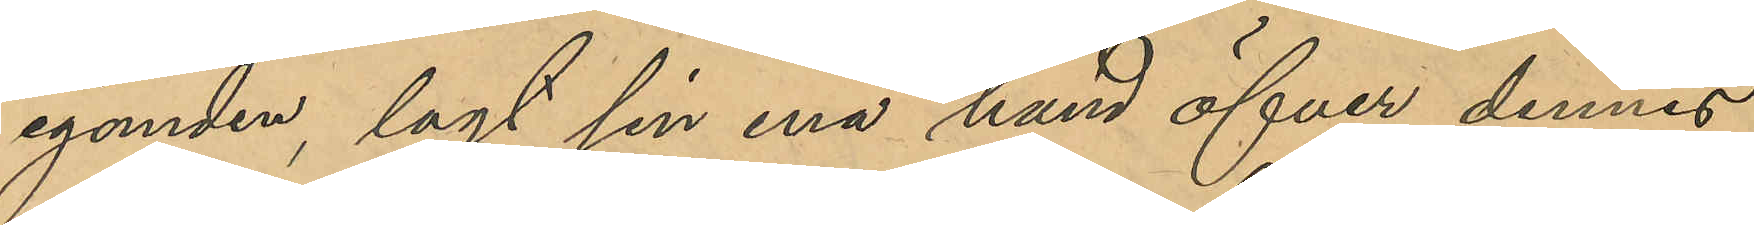eganden, lagt sin ena hand öfver dennes
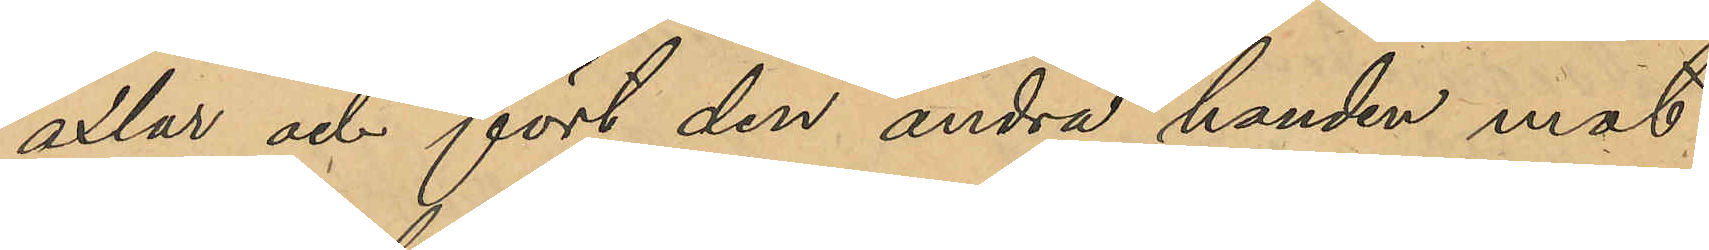axlar och fört den andra handen mot
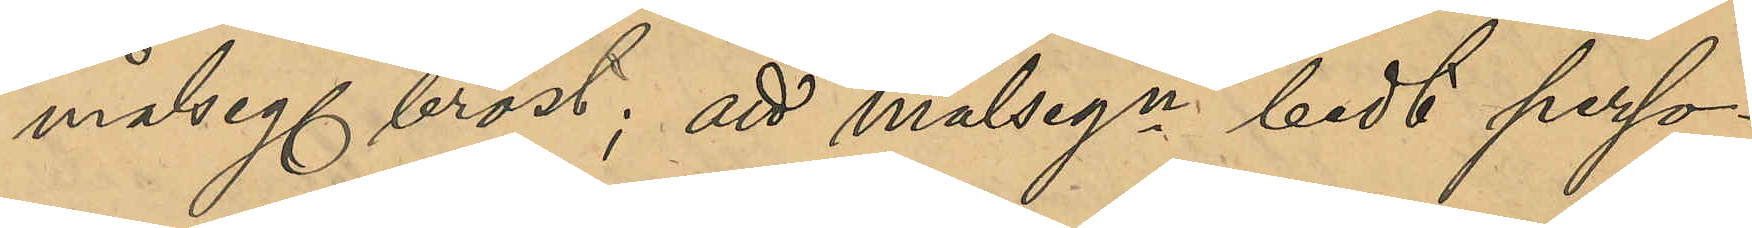målseg. bröst; att målsegn bedt perso¬
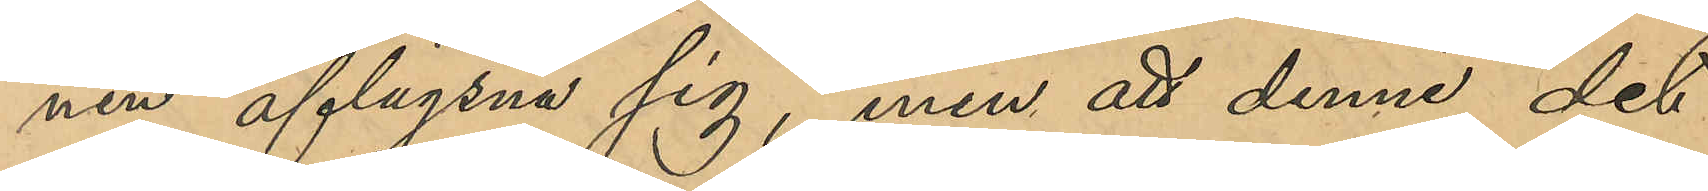nen aflägsna sig, men att denne det
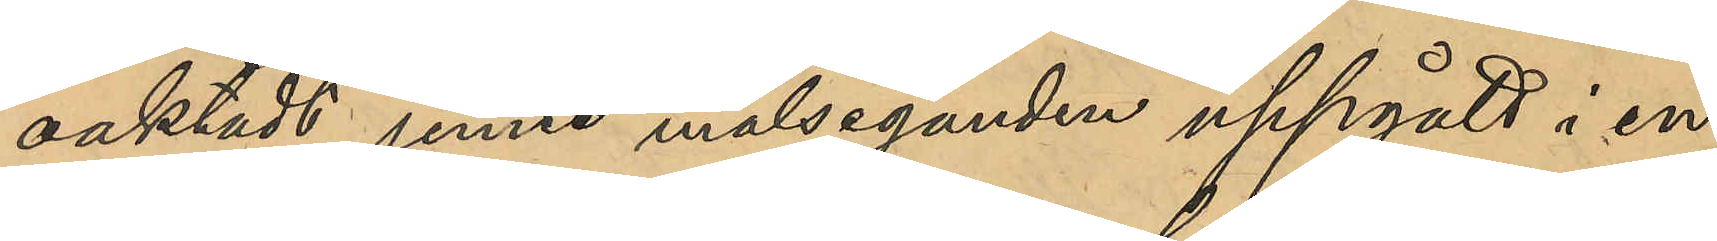oaktadt jemte målseganden uppgått i en
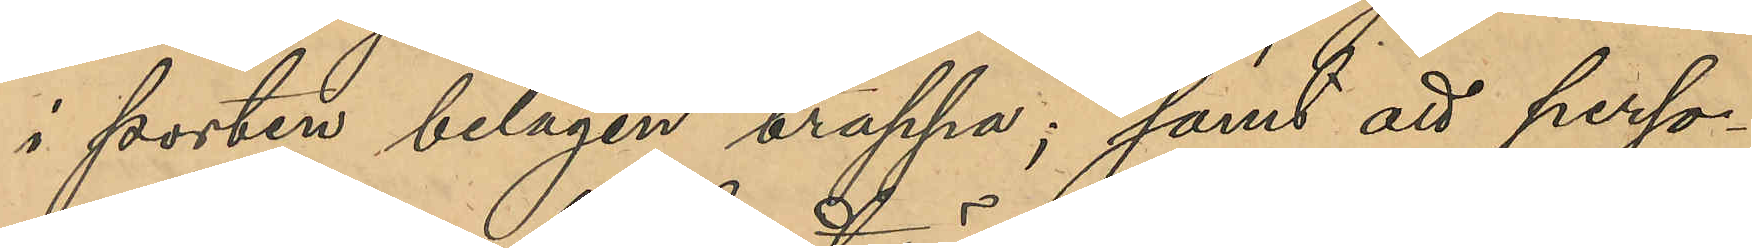i porten belägen trappa; samt att perso¬
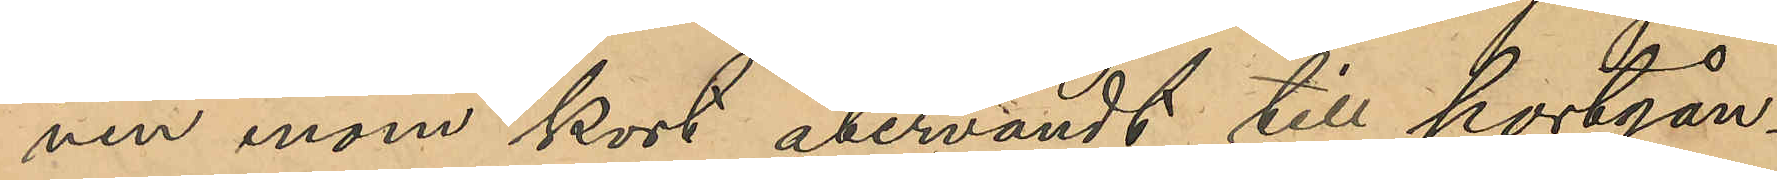nen inom kort återvändt till portgån¬
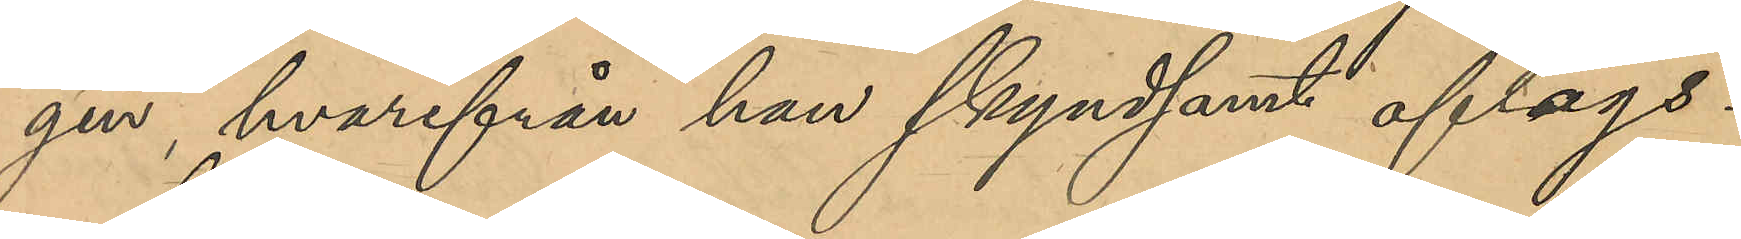gen hvarifrån han skyndsamt aflägs¬
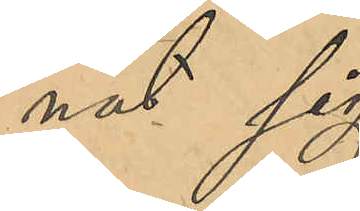nat sig.
